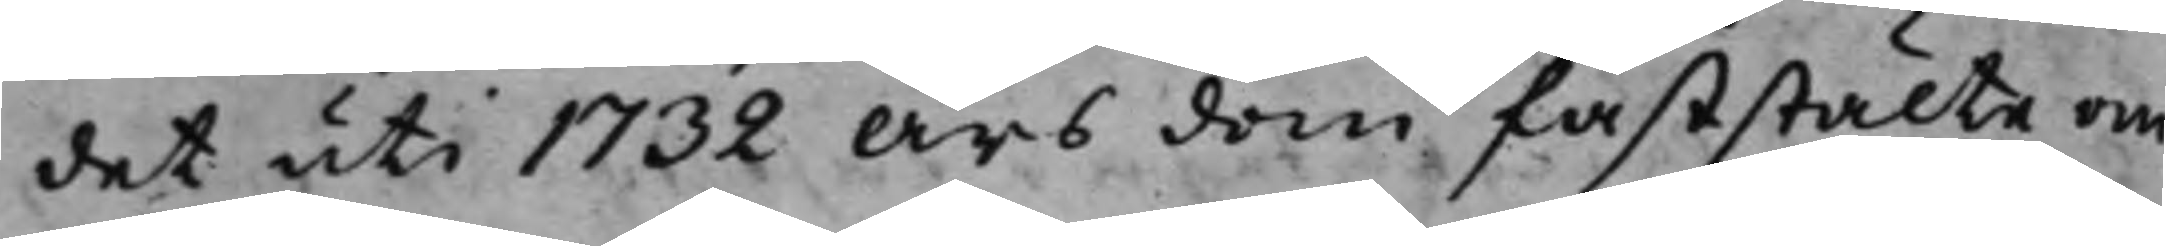det uti 1732 års dom faststälte om¬
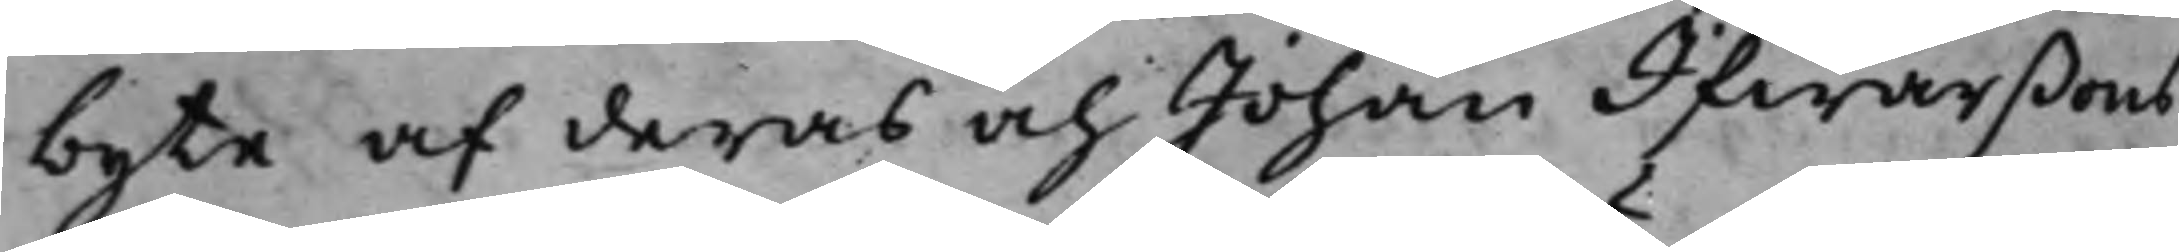byte af deras och Johan Ifwarßons
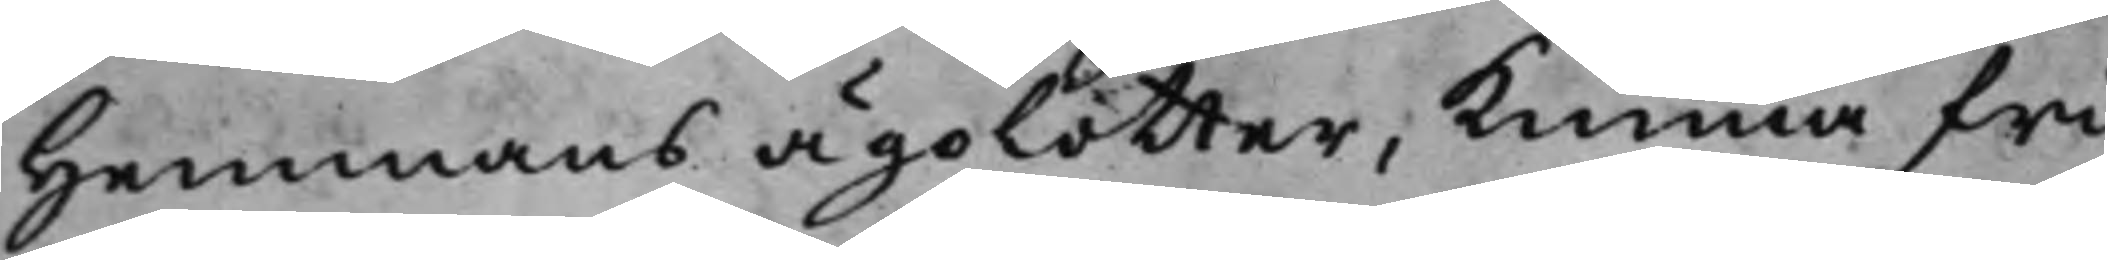Hemmans ägolotter, kunna fri¬
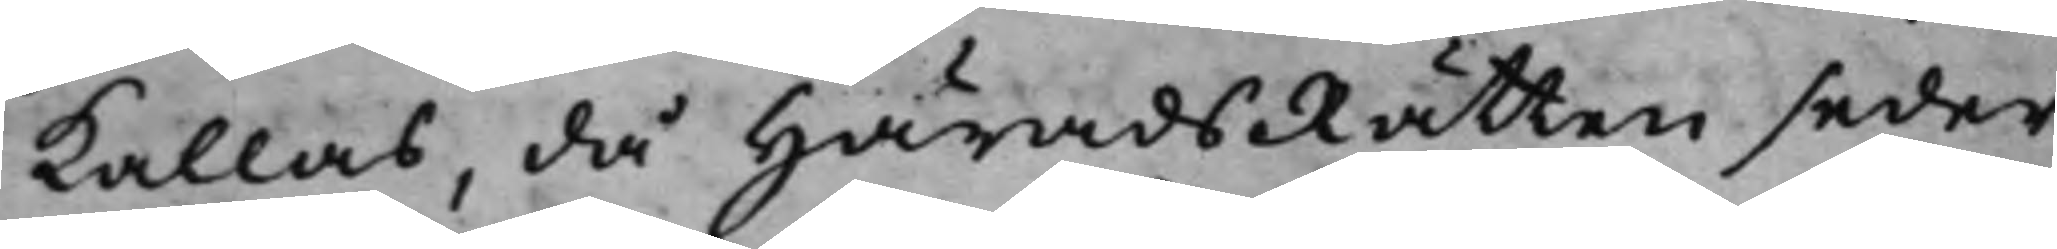kallas, då HäradsRätten seder¬
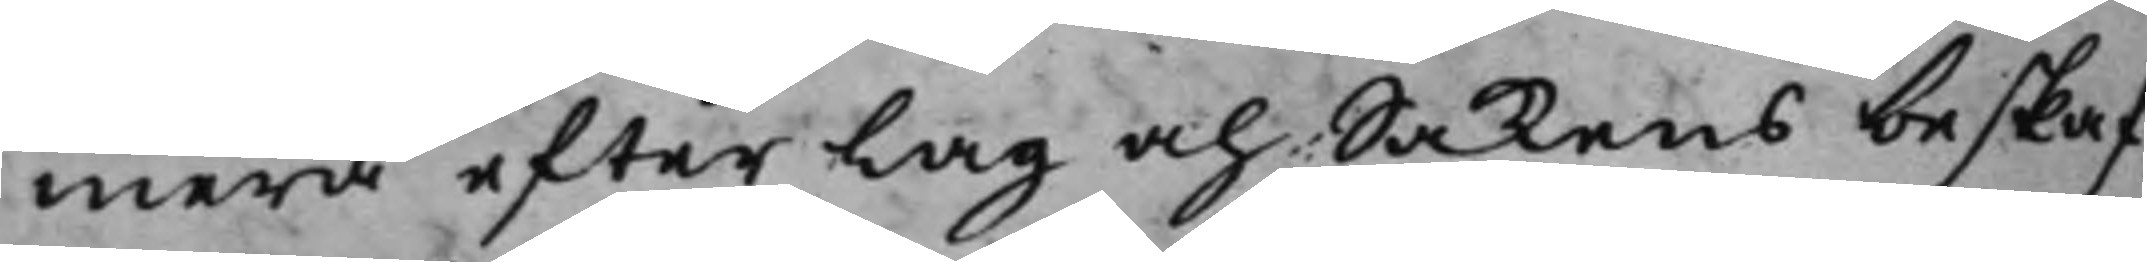mera efter Lag och Sakens beskaf¬
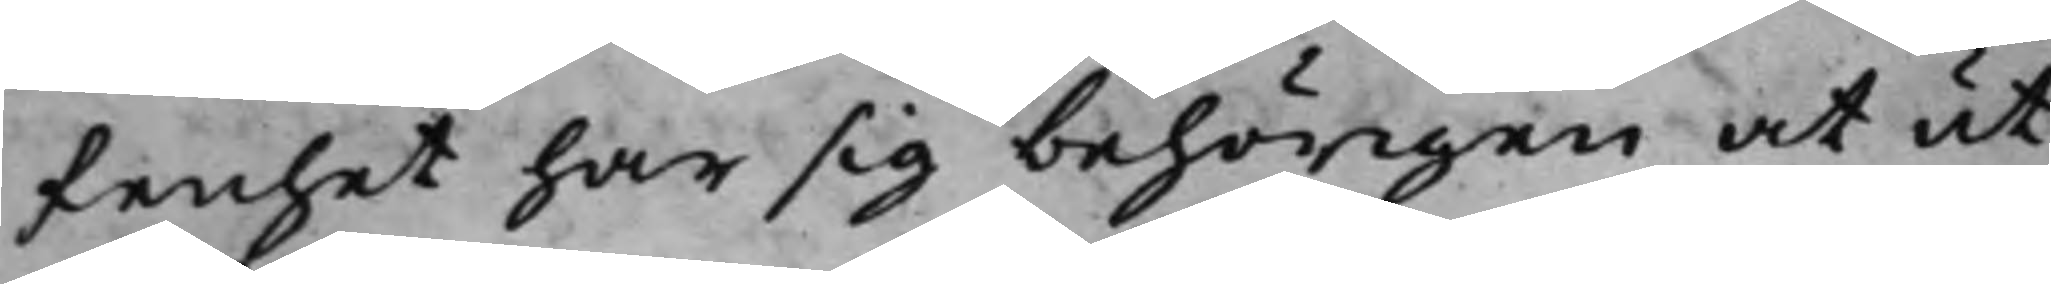fenhet har sig behörigen at ut¬
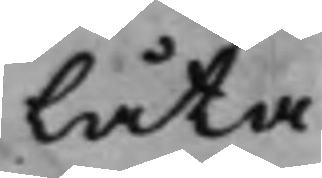låta.
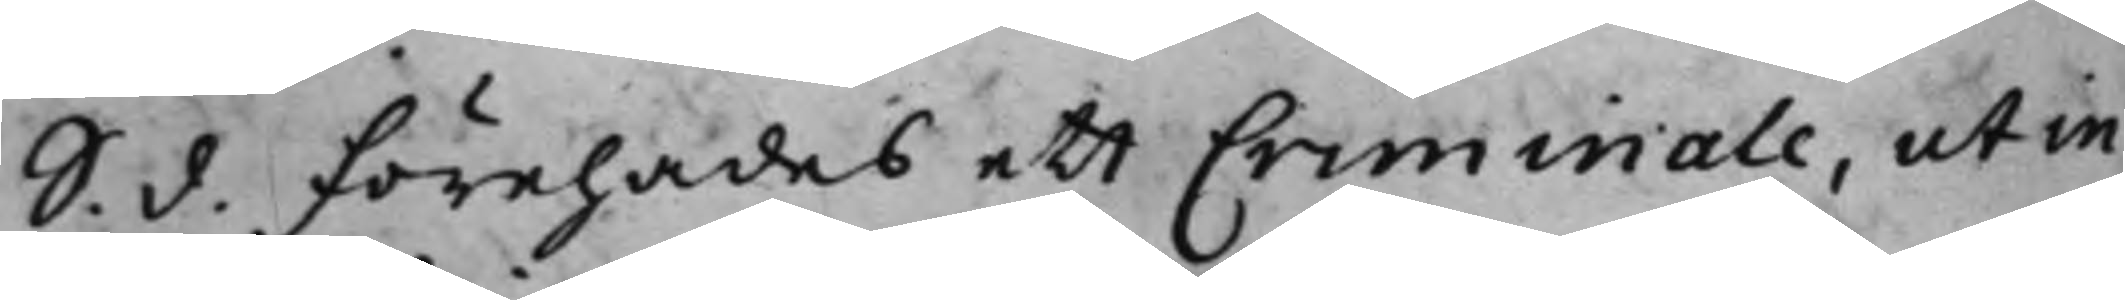S. d. Förehades ett Criminale, ut in
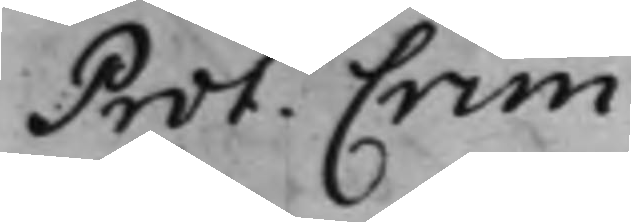Prot. Crim.
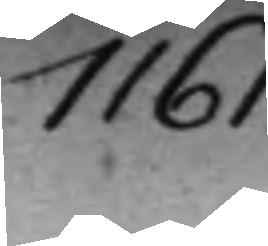1161.
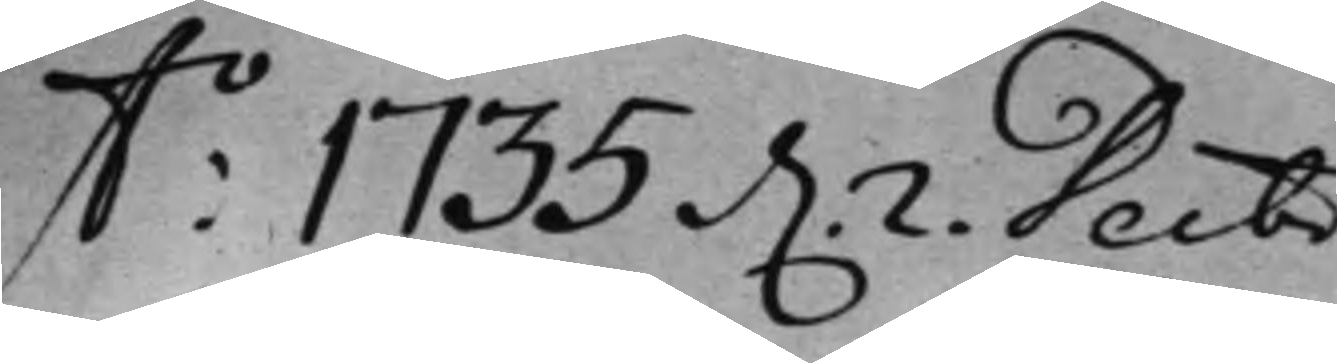A:o 1735 d. 2. Decbr.
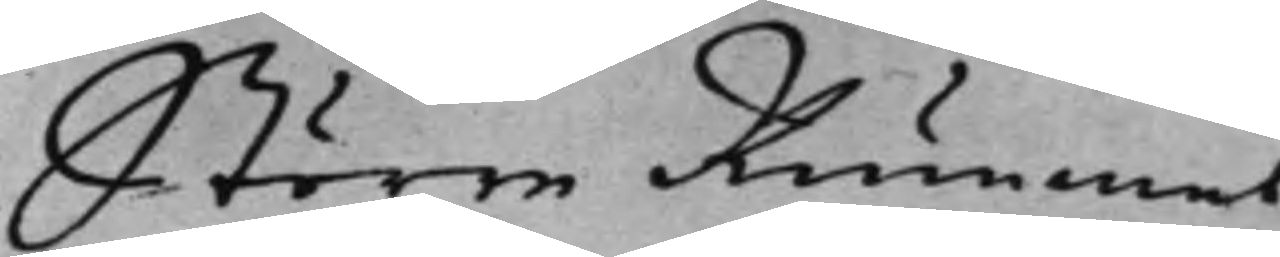Större Rummet.
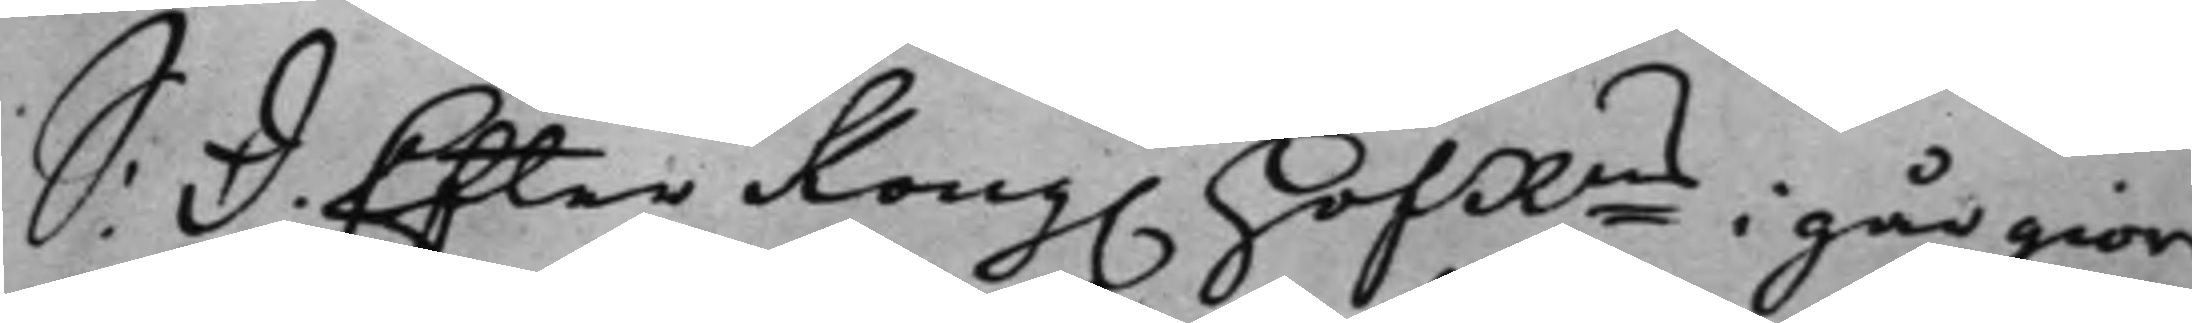S: d: Efter Kong. HofRns i går gior¬
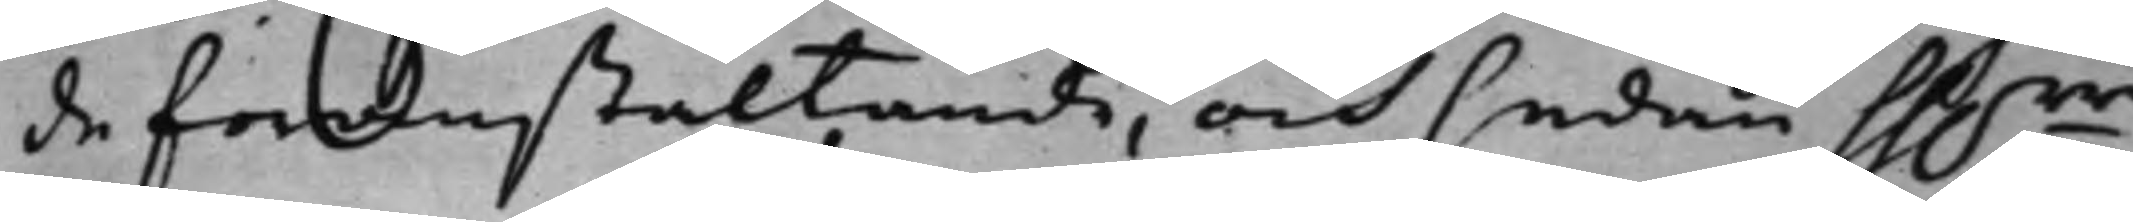de föranstaltande, och sedan hh.rr
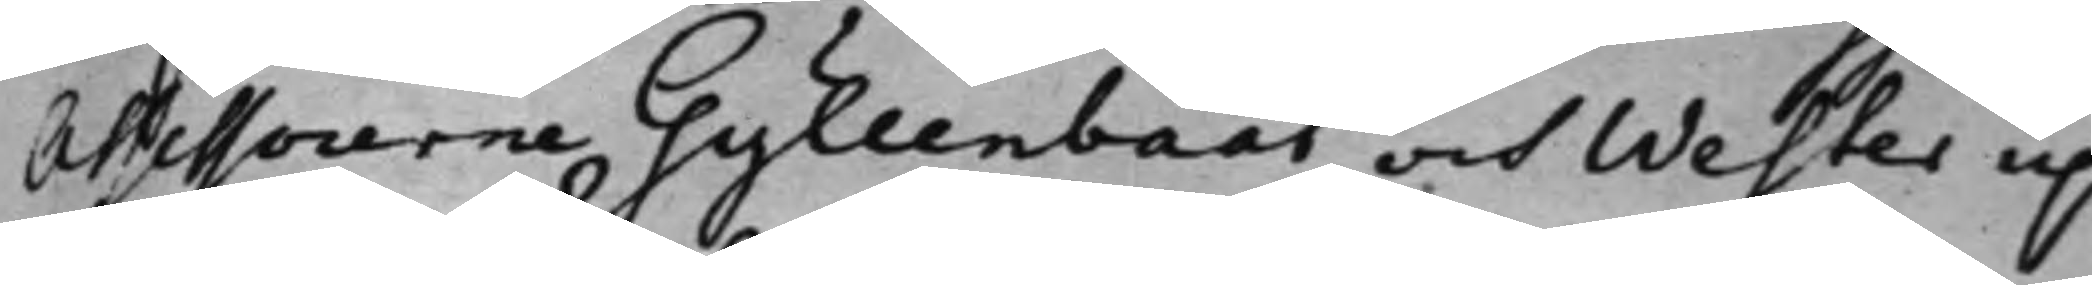Assessorerne Gyllenbååt och Wester up¬
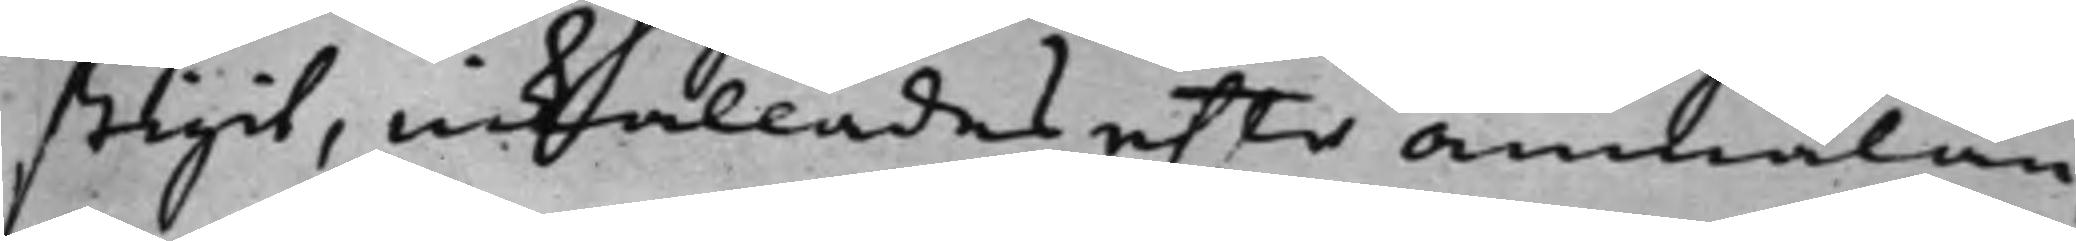stigit, inkallades effter anmälan,
